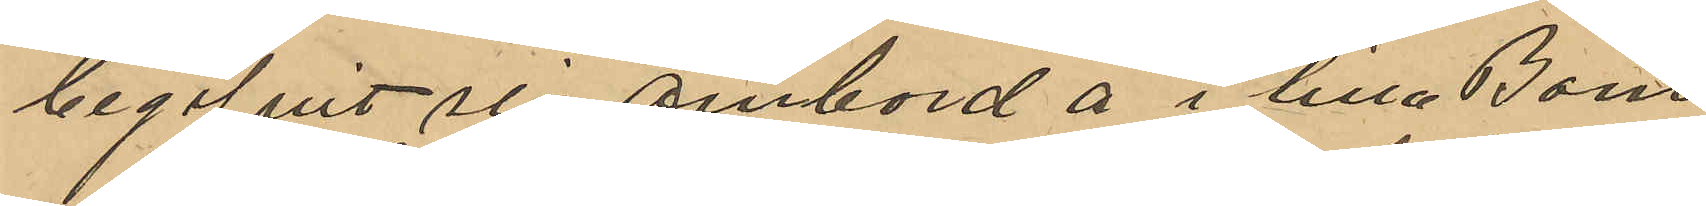begifvit sig ombord å i lilla Bom¬
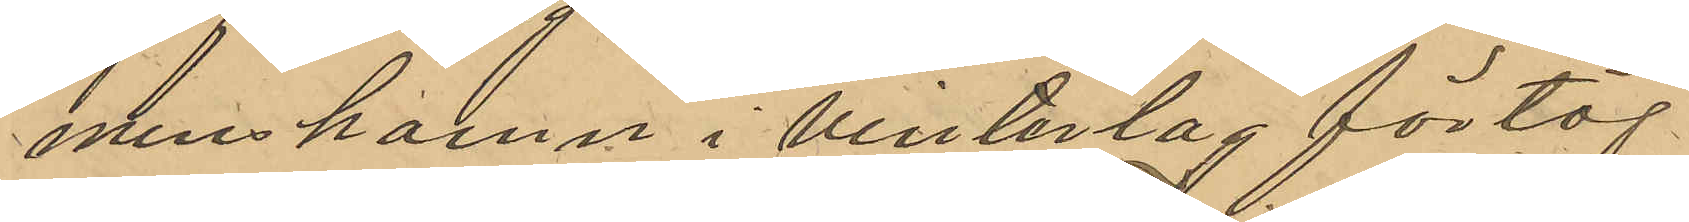mens hamn i vinterlag förtöj¬
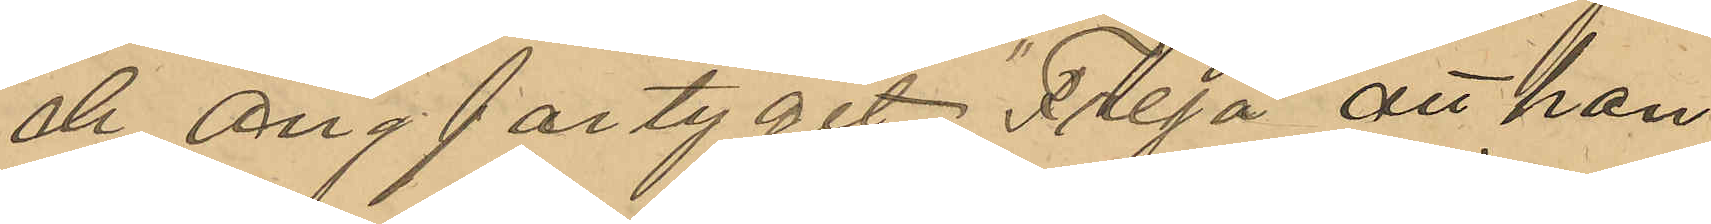de ångfartyget "Freja" att han
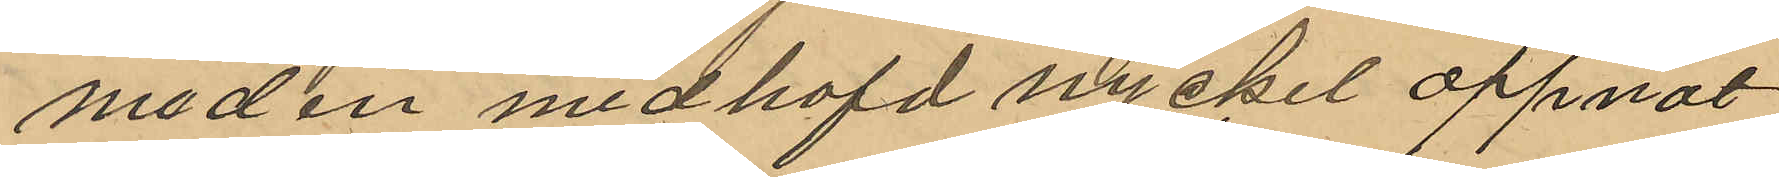med en medhafd nyckel öppnat
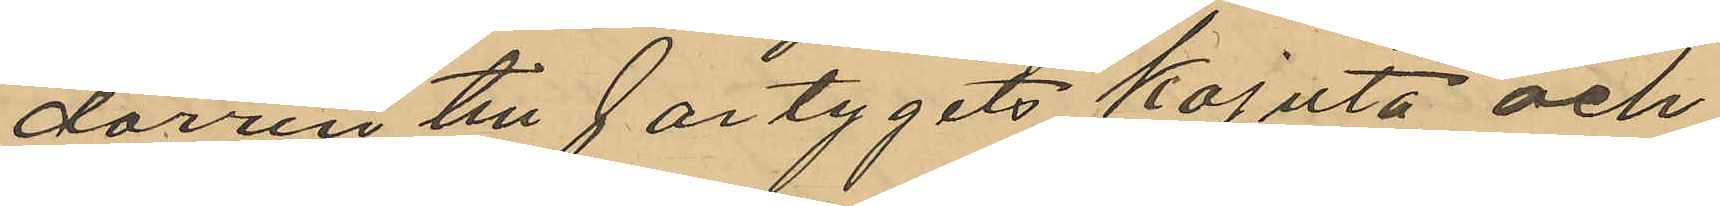dörren till fartygets kajuta och
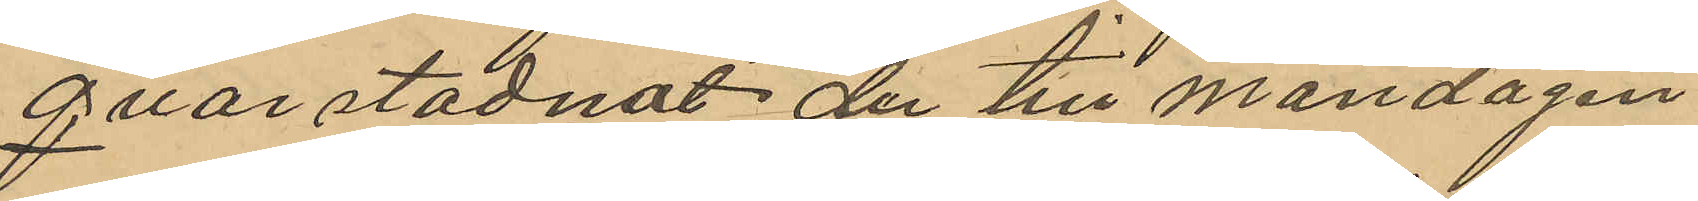qvarstadnat der till måndagen
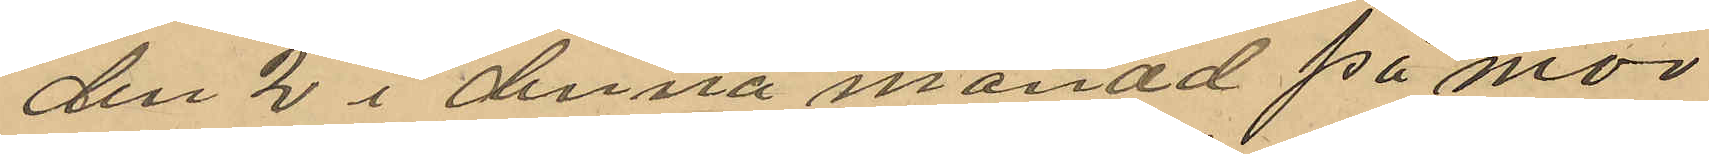den 2 i denna månad på mor¬
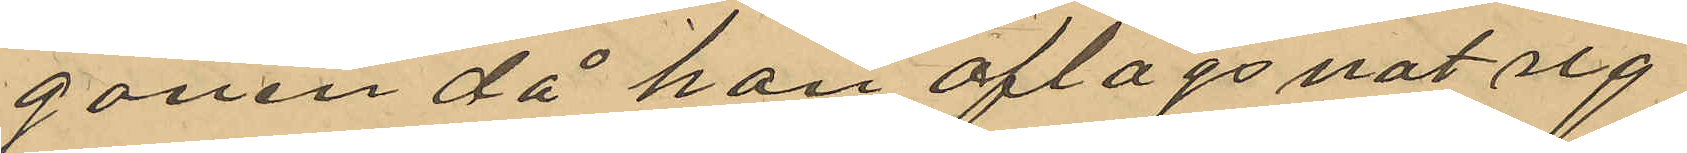gonen då han aflägsnat sig
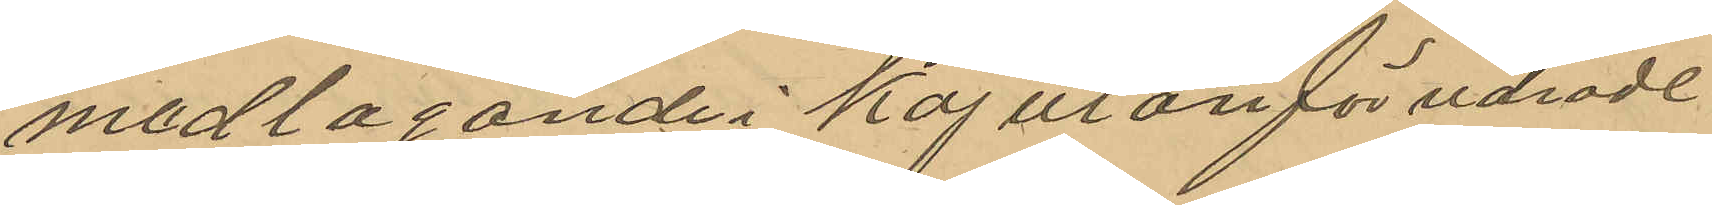medlagande i kajutan förudrade
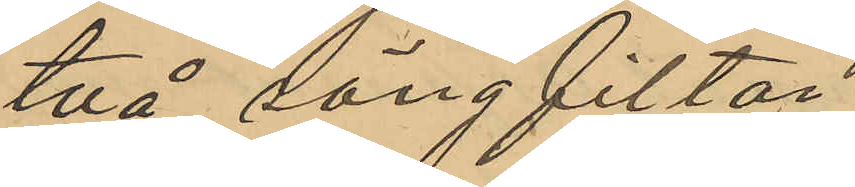två sängfiltar.
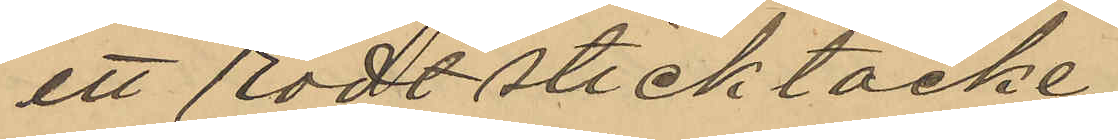ett rödt sticktäcke
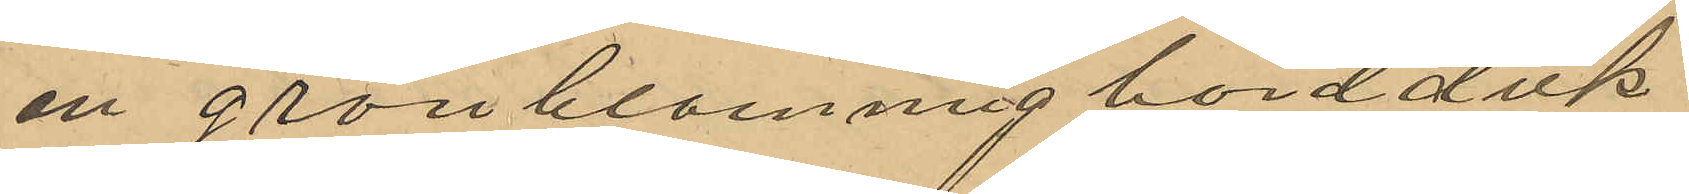en grönblommig bordduk
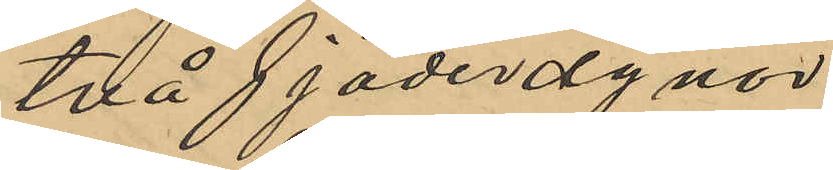två fjäderdynor
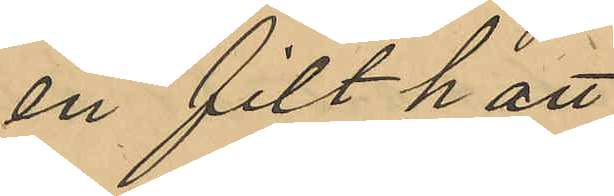en filthatt
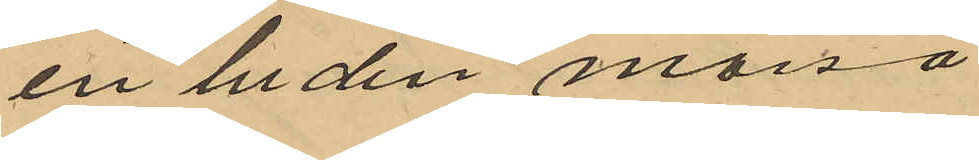en luden mössa
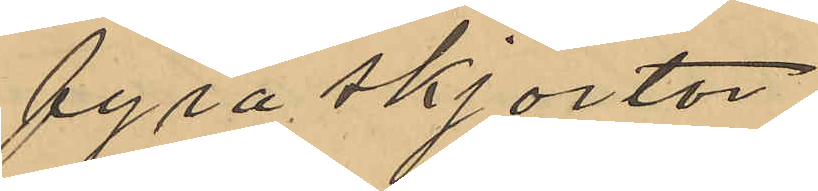fyra skjortor
